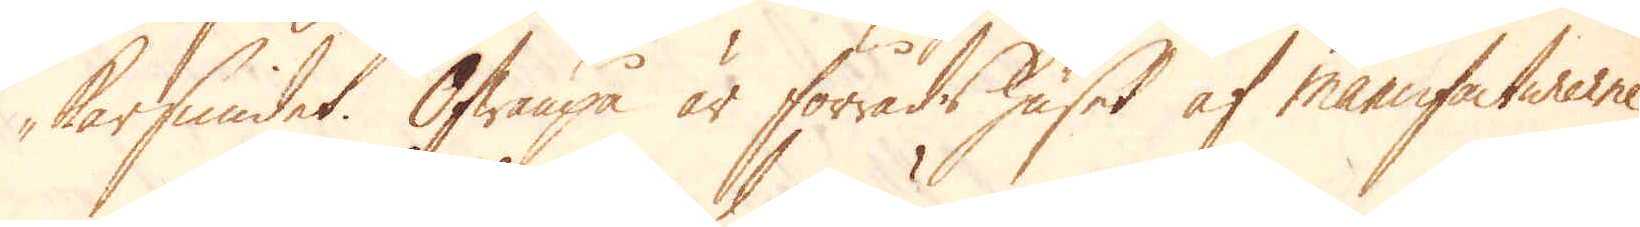karsmidet. Ofwanpå är förrådshuset af manufacturerne.
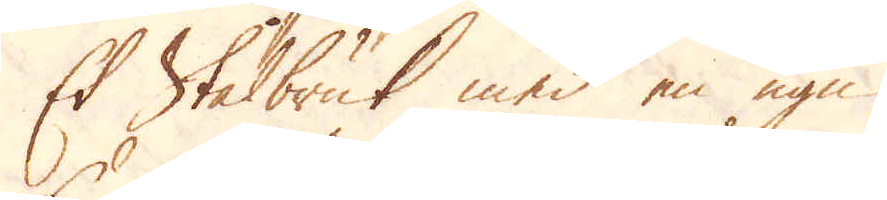Et Stålbruk med en ugn.
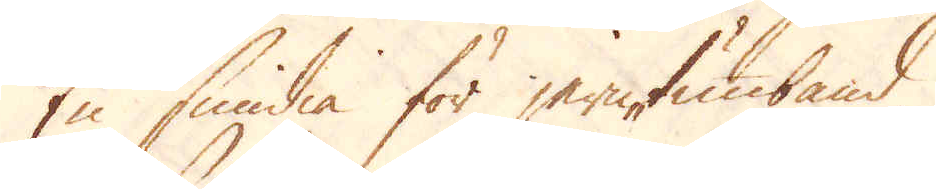En smidia för jerntunband.
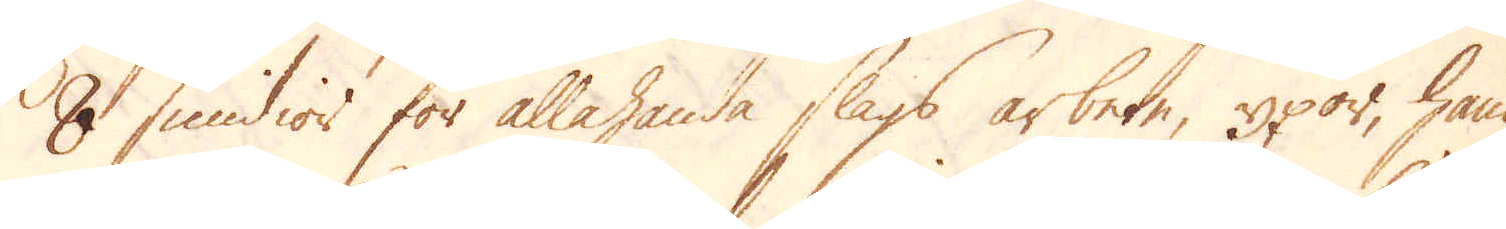8 smidior för allahanda slags arbete, yxor, ham-
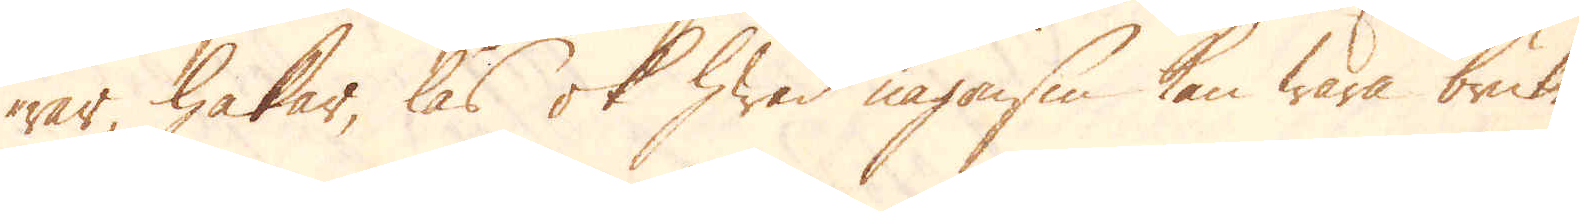rar, hakar, lås ok hwad någonsin kan wara bruke-
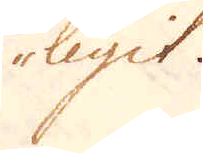ligit.
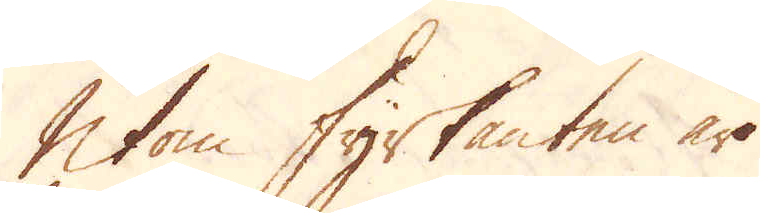Utom fyrkanten äro
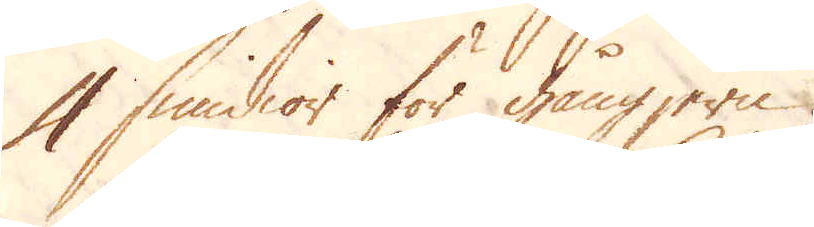4 smidor för gångjern.
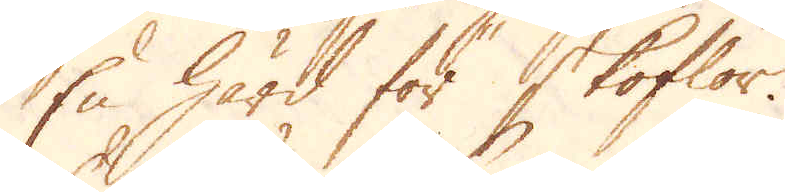En härd för skoflor.
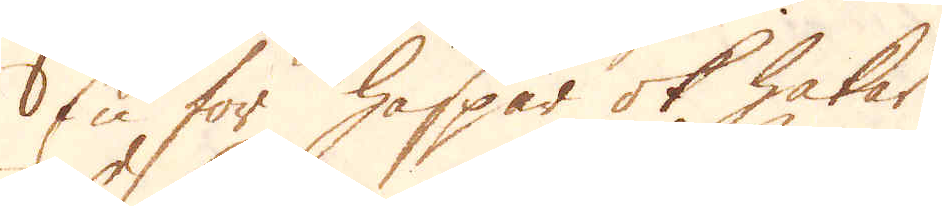En för haspar ok hakar.
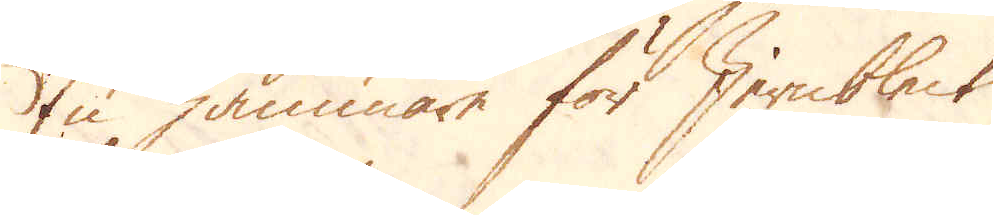En hammare för Jernbleck.
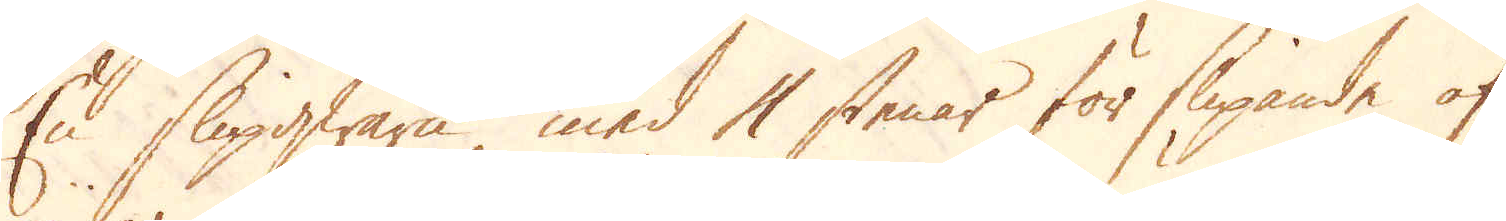En Slipqwarn med 4 stenar för slipande af
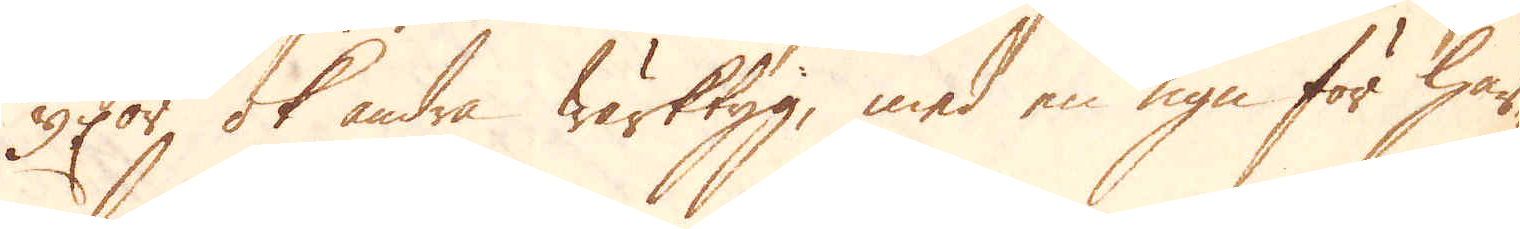yxor ok andra wärktyg, med en ugn för här-
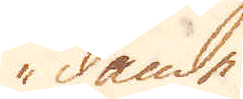dande.
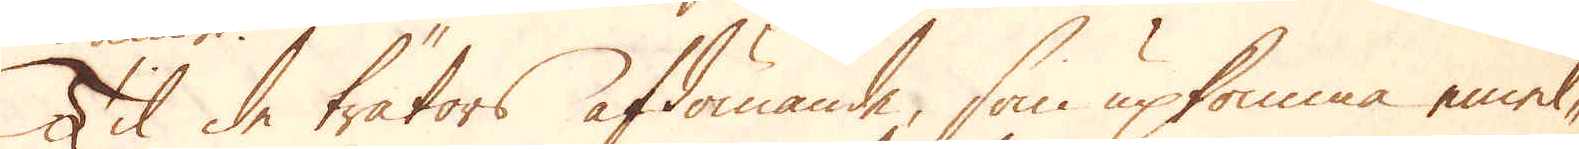Til de trätors afdömande, som upkomma emel-
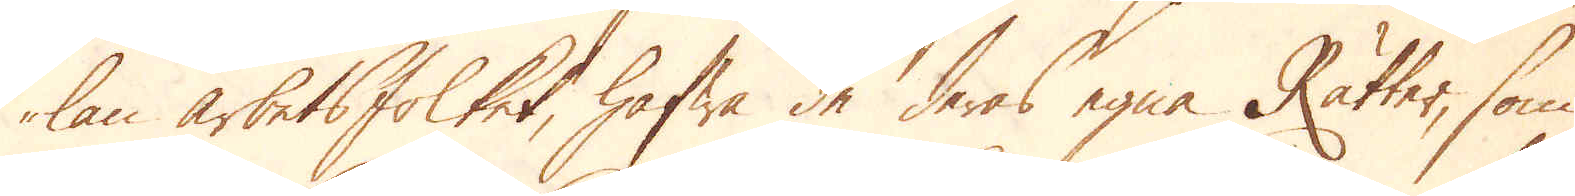lan arbetsfolket, hafwa de deras egna Rätter, som
